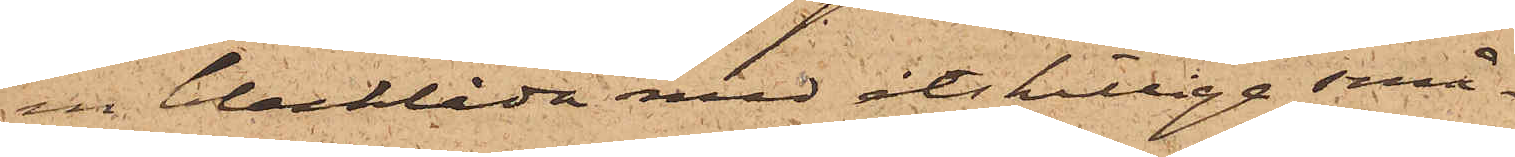en blecklåda med åtskillige små¬
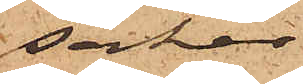saker
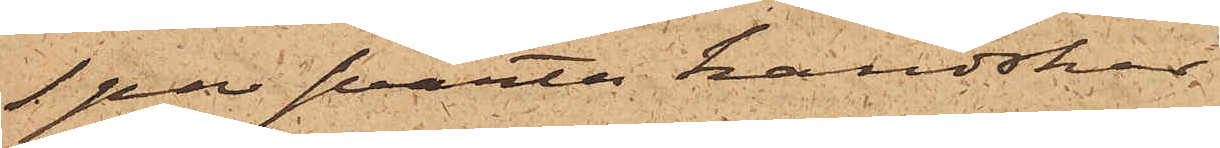1 par svarta handskar
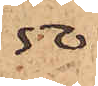50.
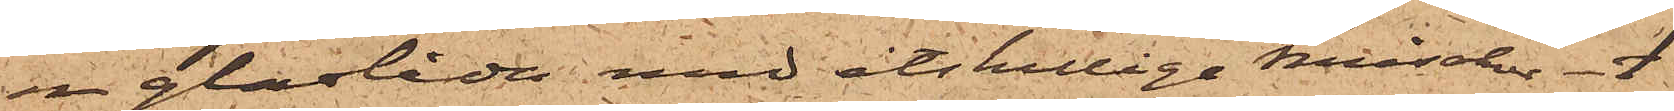en glaslåda med åtskilliga mischer 1
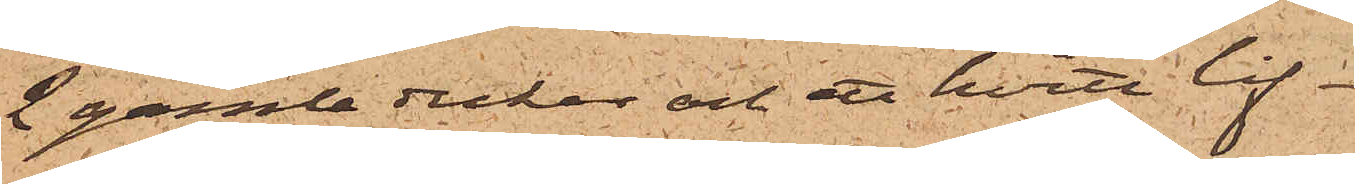2 gamla dukar och ett hvitt lif
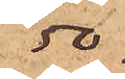50.
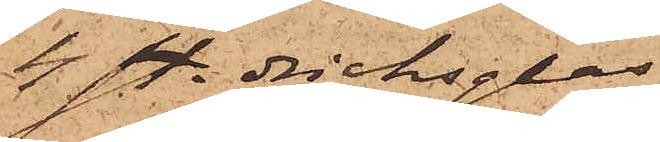4 st. dricksglas
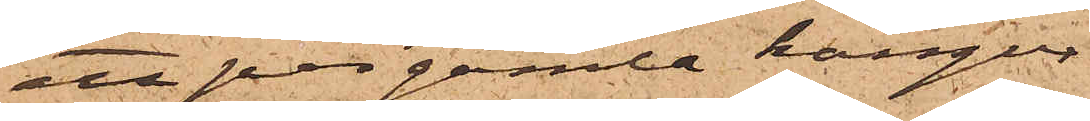ett par gamla känger
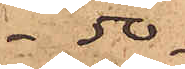50.
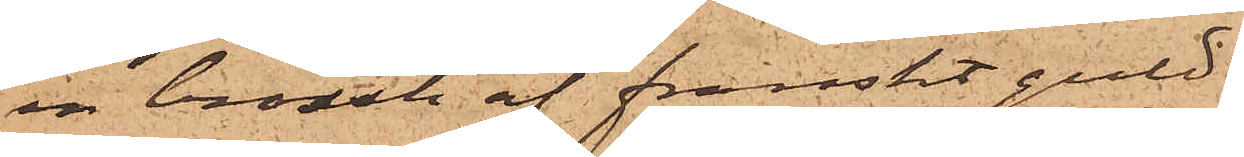en brosch af franskt guld
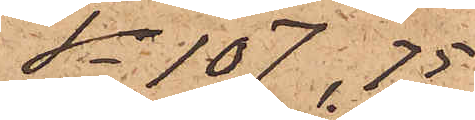Sa 107,75
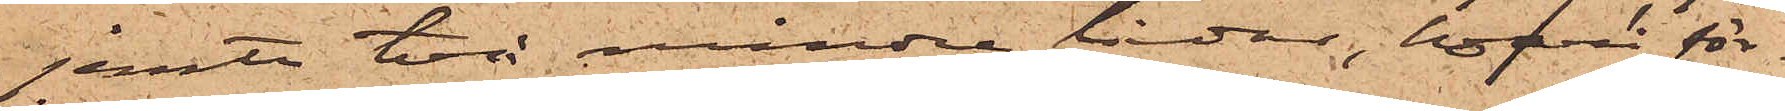jemte två mindre lådor, hvari för¬
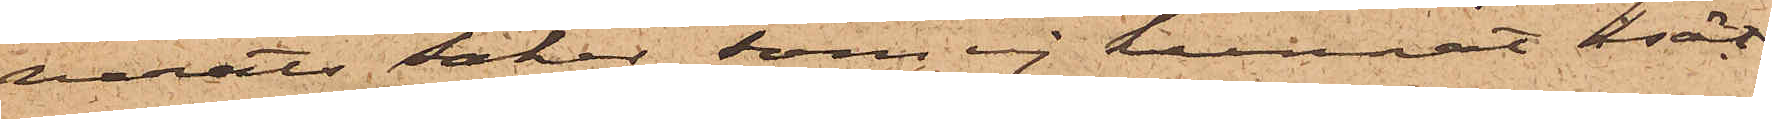varats saker, som ej kunnat åsät¬
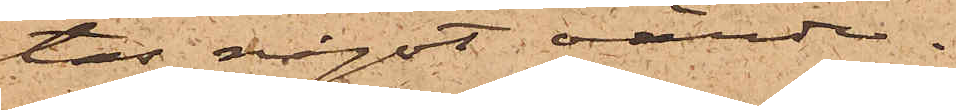tas något värde.
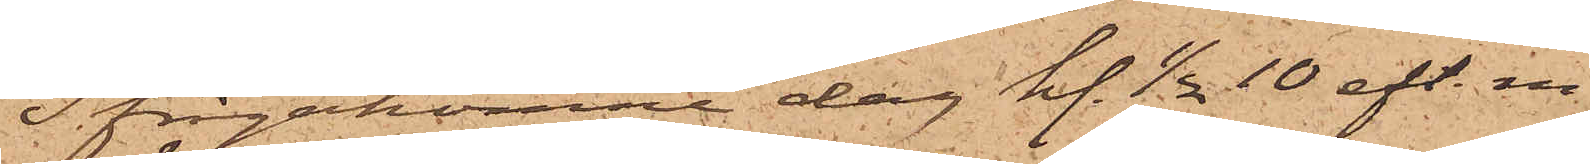Ifrågakomne dag kl. 1/2 10 eft. m.
